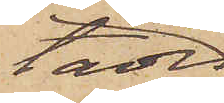tades
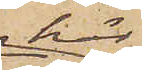här
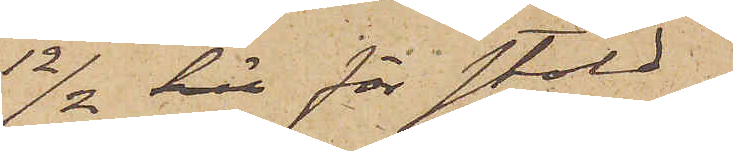12/2 här för stöld.
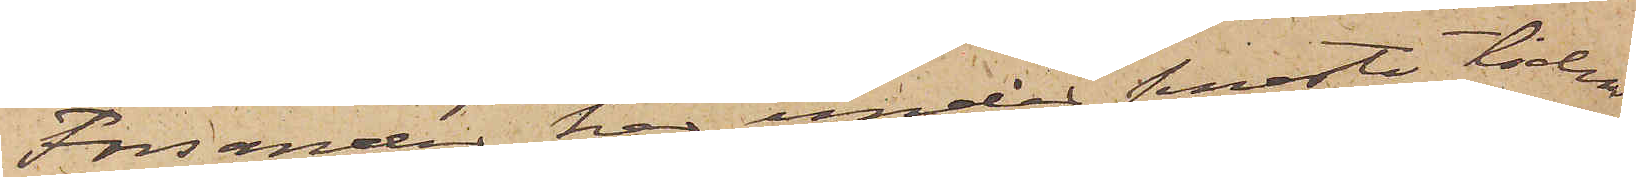Forsander har under senaste tiden
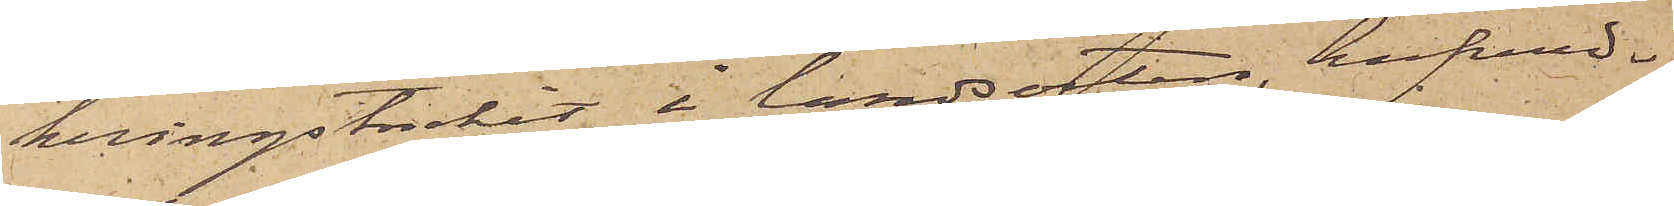kringstrukit i landsorten, hufvud¬
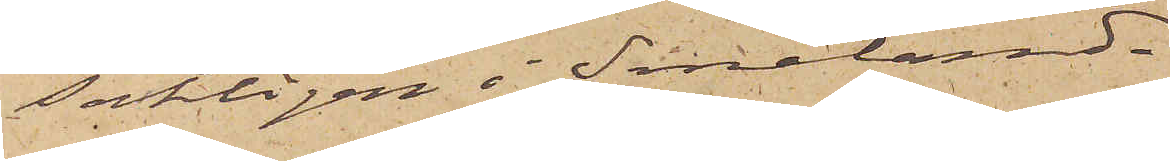sakligen i Småland.
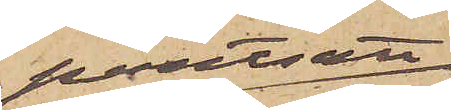pantsatt
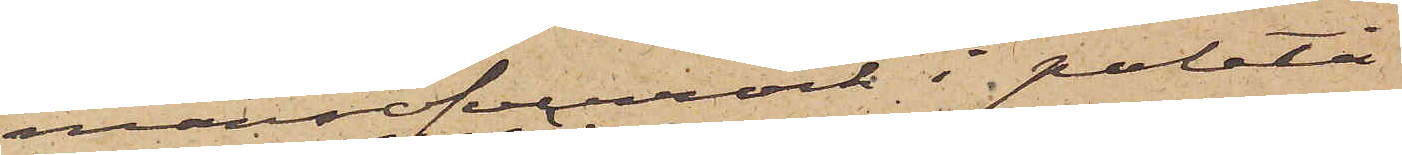mansöfverrock i paletå¬
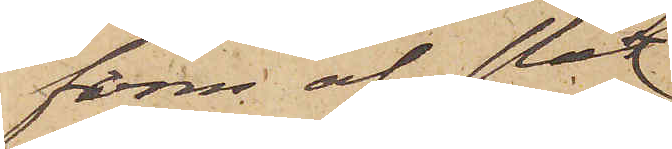form af slät
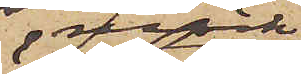mörk
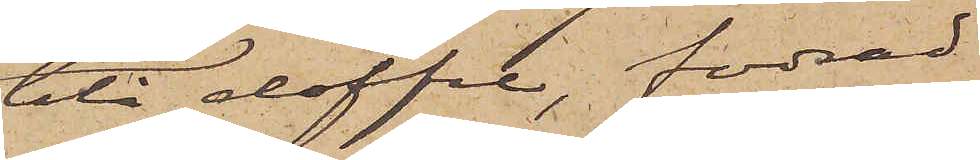blå doffel, fodrad
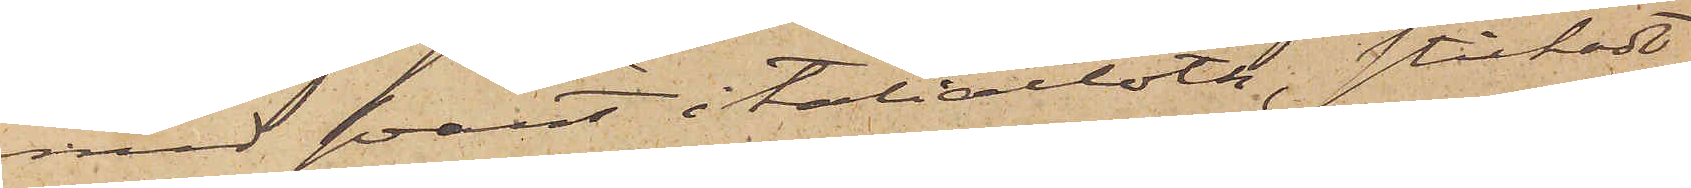med svart italiacloth, stickadt
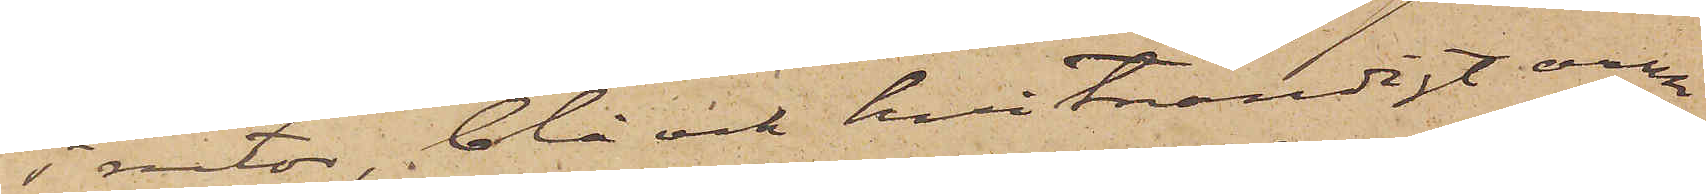i rutor, blå och hvitrandigt arm¬
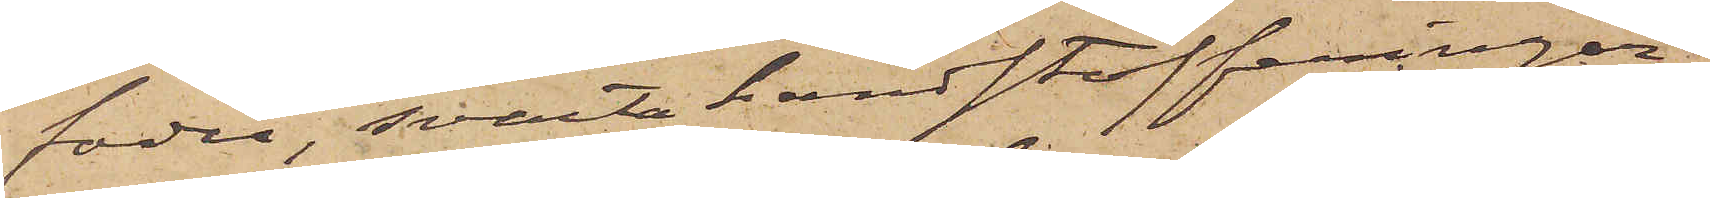foder, svarta handstofferingar,
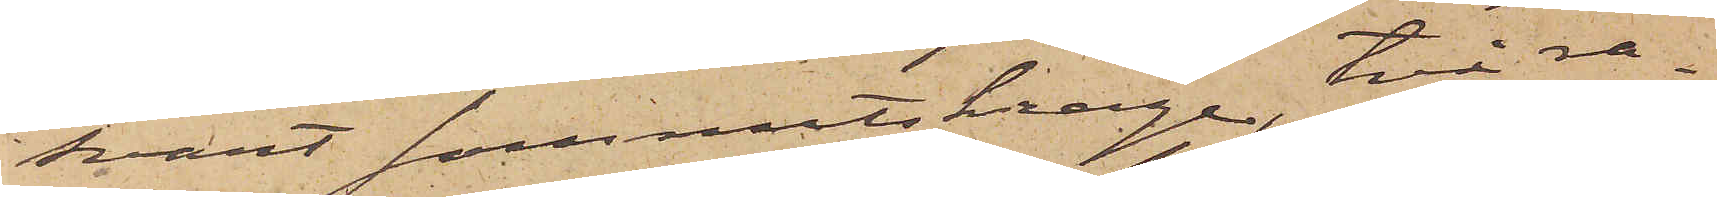svart sammetskrage, två ra¬
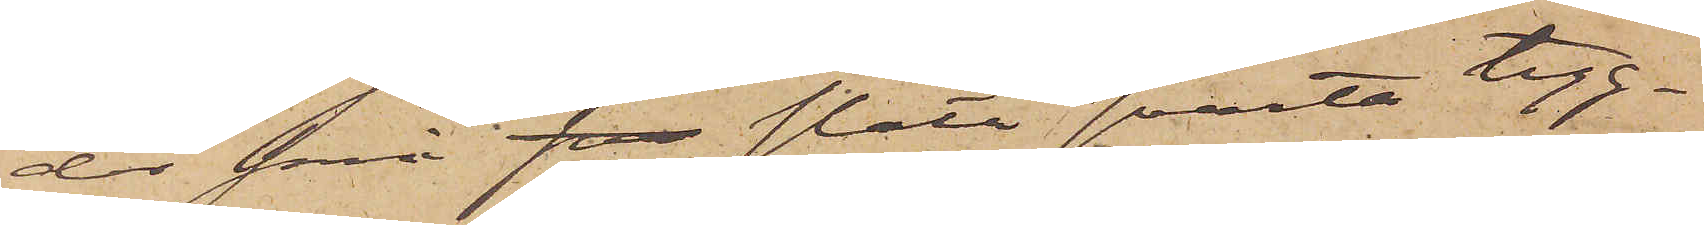der små sva släta svarta tyg¬
